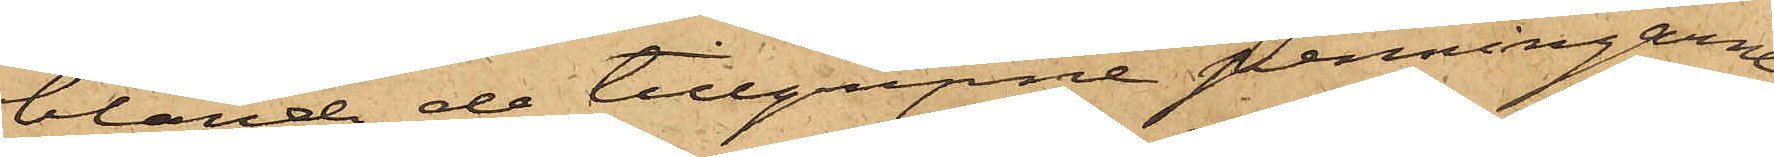bland de tillgripne penningarne,
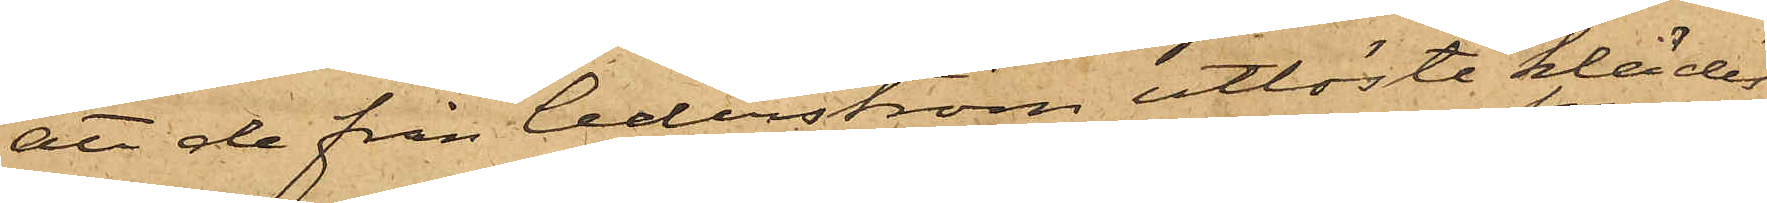att de från Cederström utlöste klädes¬
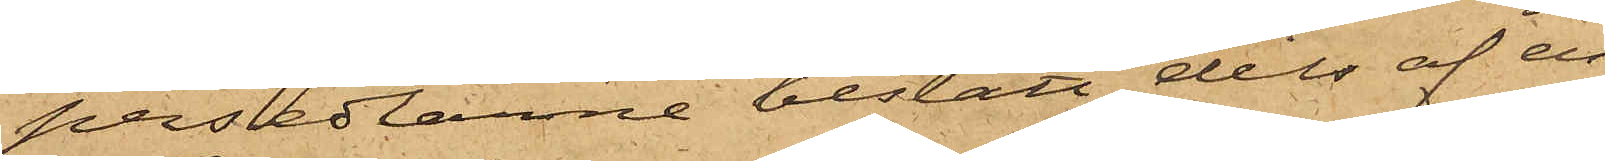persedlarne bestått dels af en
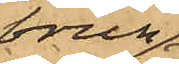brun
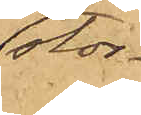stor¬
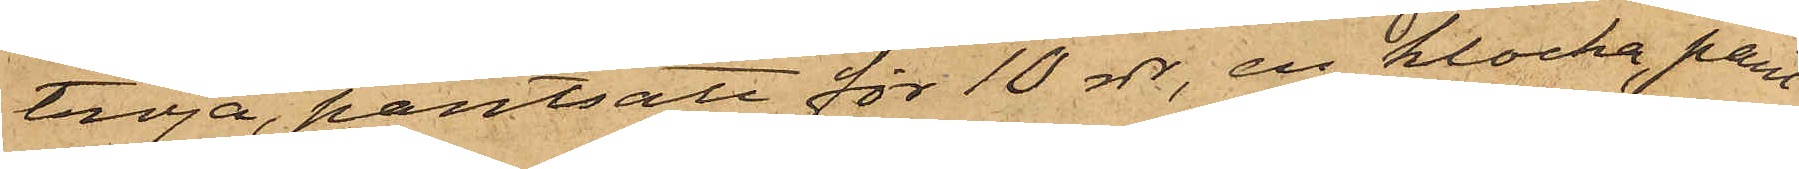tröja, pantsatt för 10 rdr, en klocka, pant¬
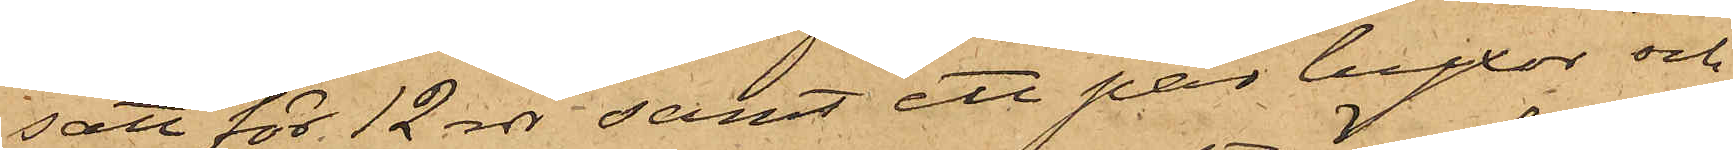satt för 12 rdr samt ett par byxor och
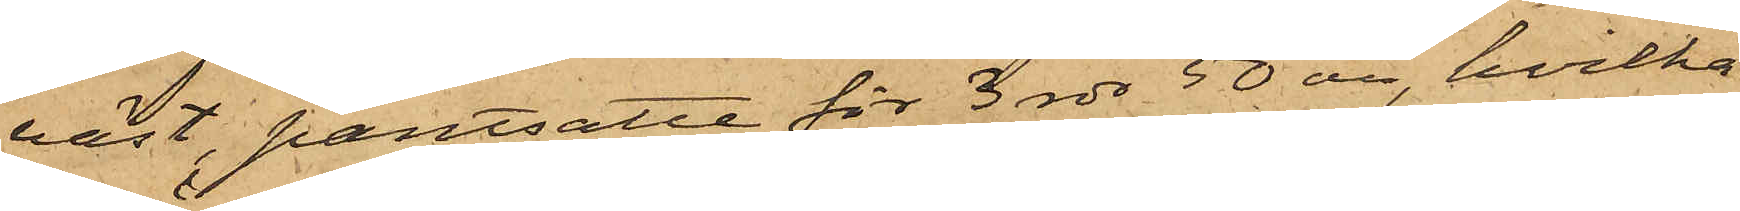väst, pantsatte för 3 rdr 50 öre, hvilka
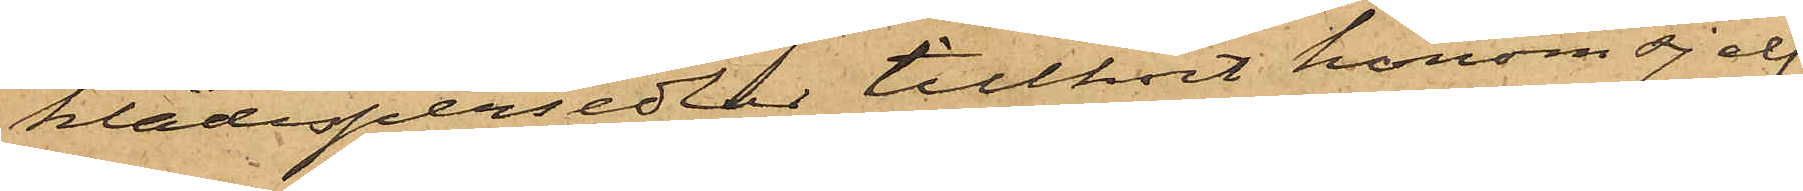klädespersedlar tillhört honom sjelf,
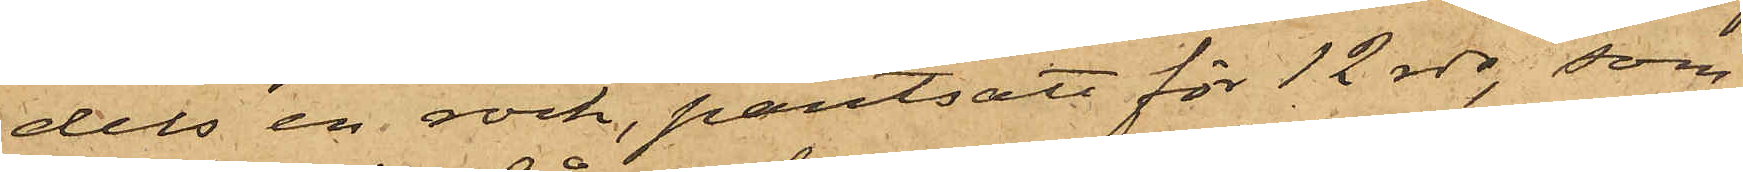dels en rock, pantsatt för 12 rdr, som
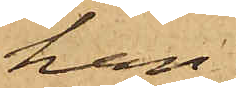han
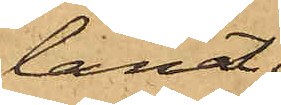lånat
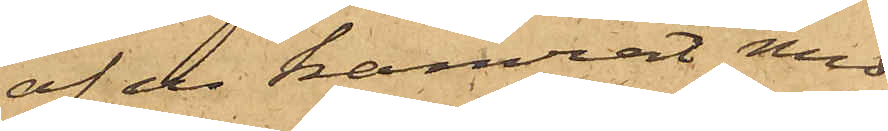af en kamrat med
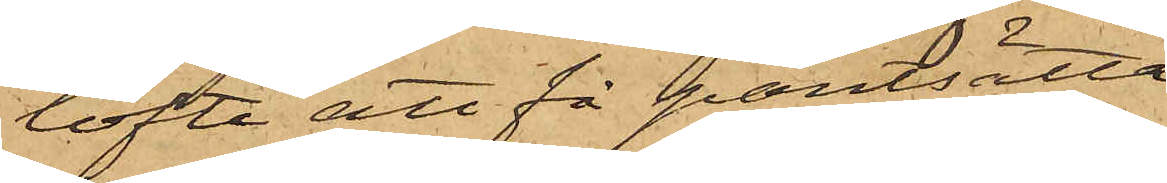löfte att få pantsätta,
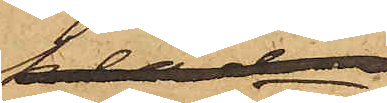dels ett
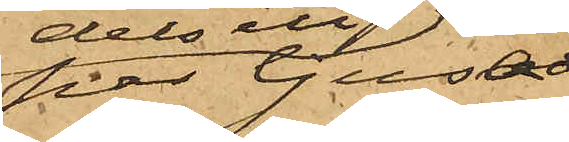par ljusa
